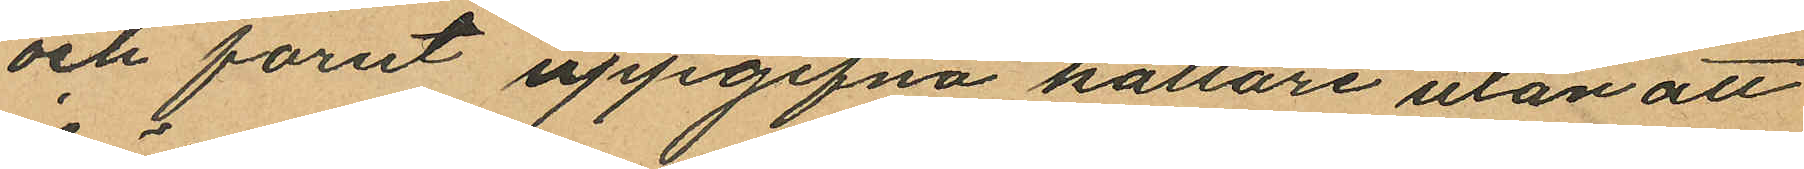och forut uppgifna källare utan att
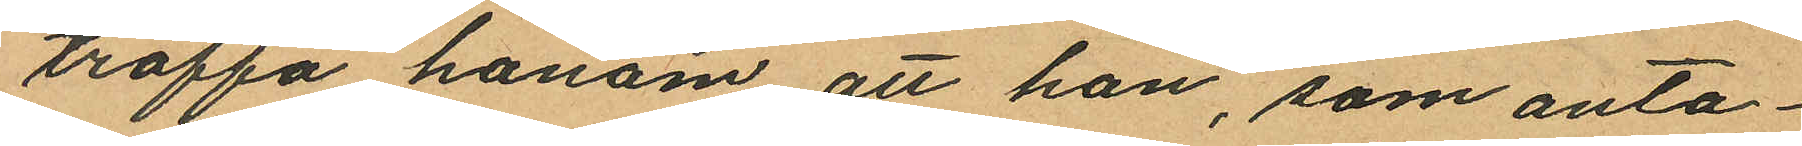träffa honom att han, som anta¬
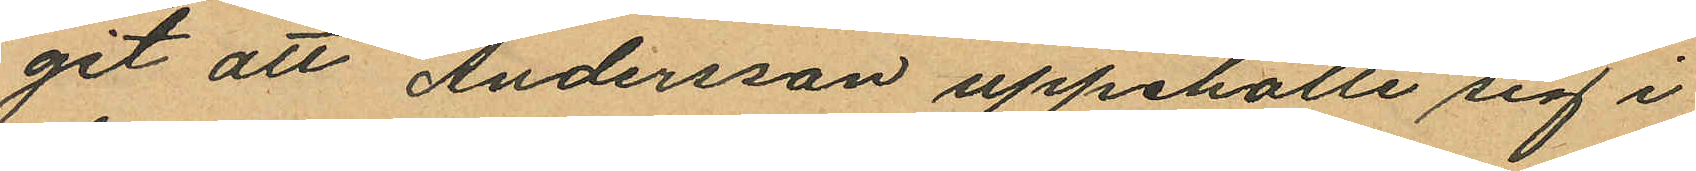git att Andersson uppehölle sig i
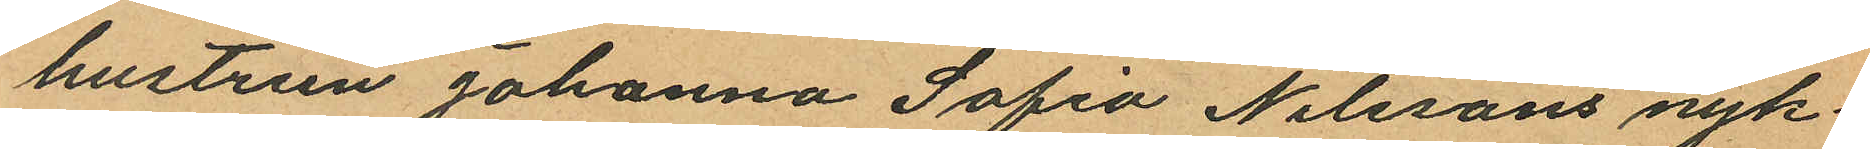hustrun Johanna Sofia Nilssons nyk¬
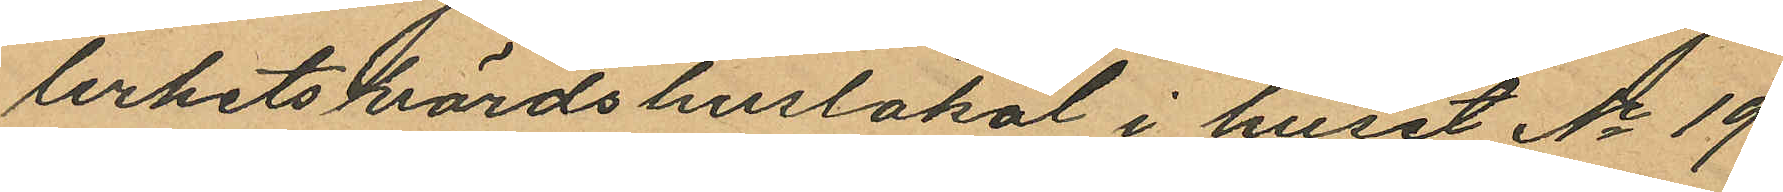terhetsvärdshuslokal i huset No 19
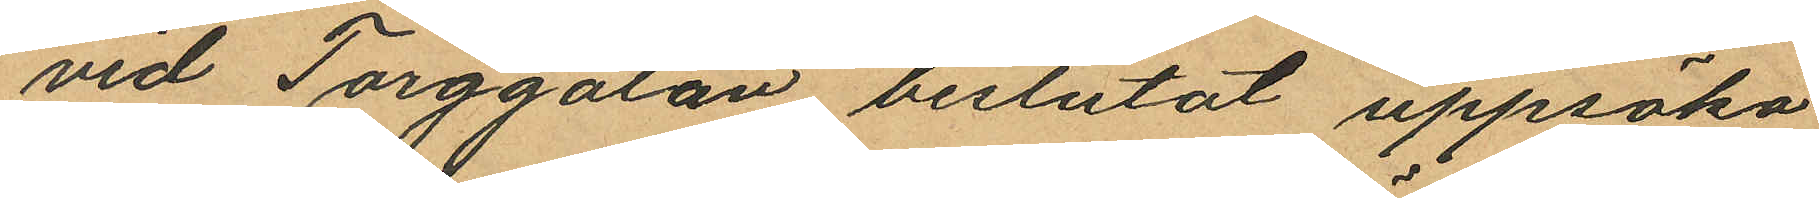vid Torggatan beslutat uppsöka
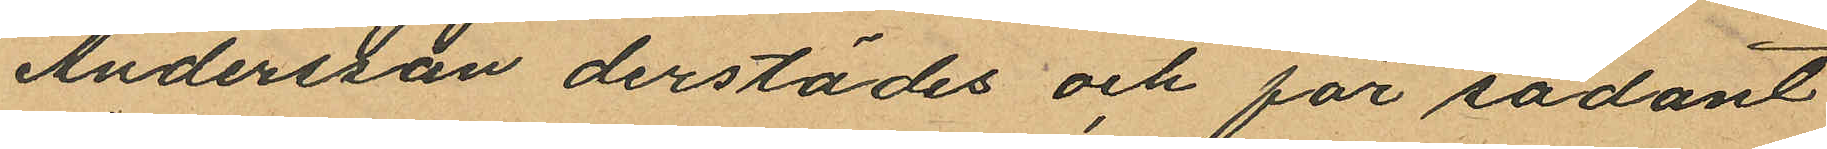Andersson derstädes och för sådant
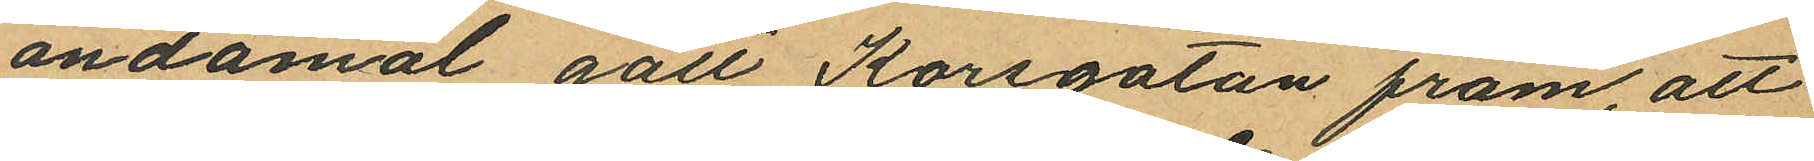ändamål gått Korsgatan fram, att
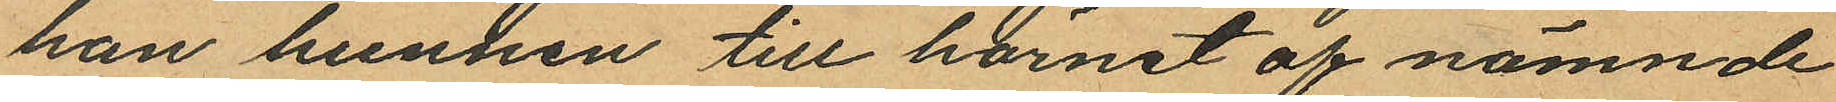han hunnen till hörnet af nämnde
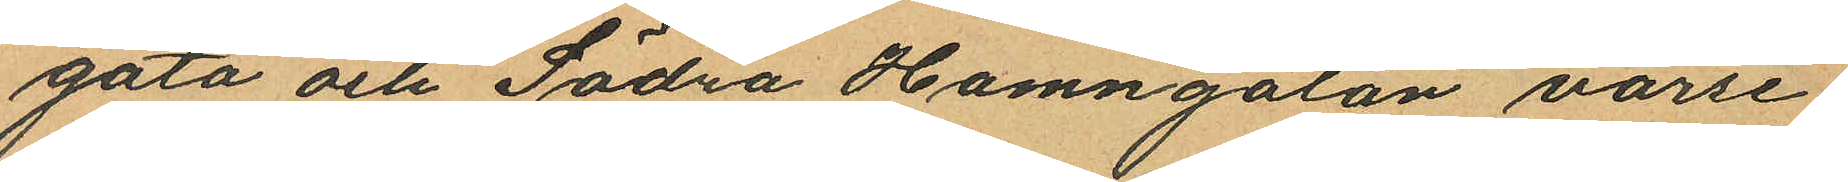gata och Södra Hamngatan varse¬
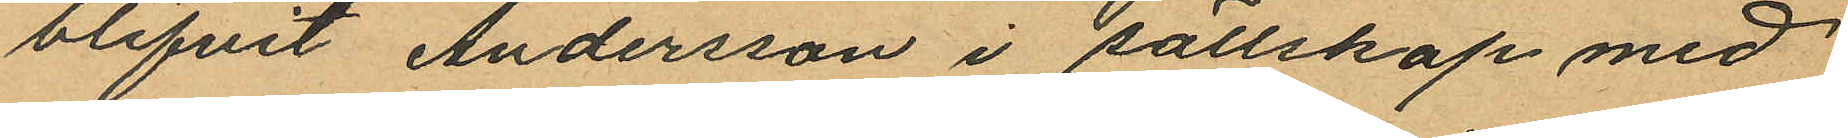blifvit Andersson i sällskap med
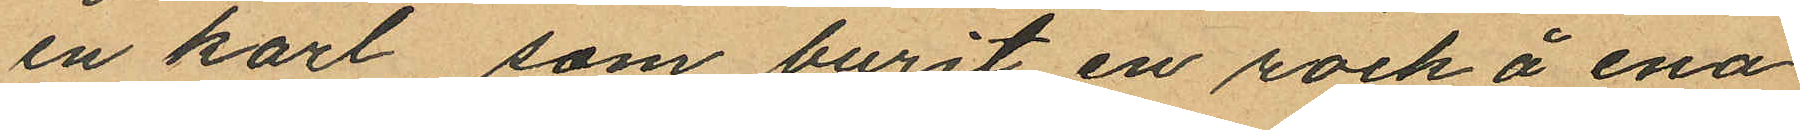en karl som burit en rock å ena
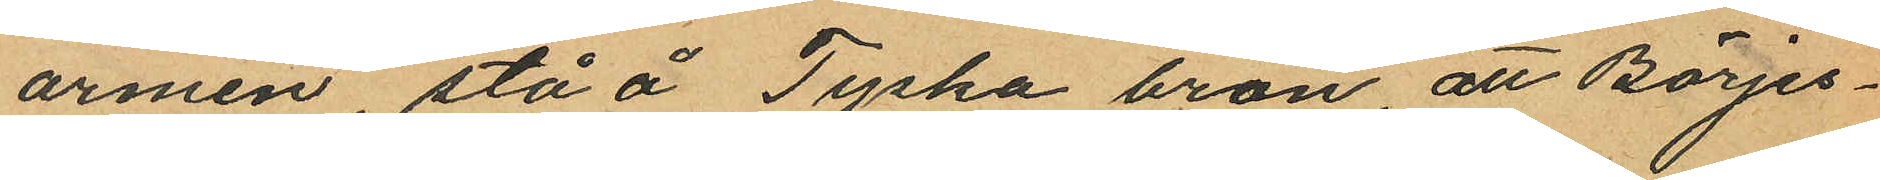armen stå å Tyska bron, att Börjes¬
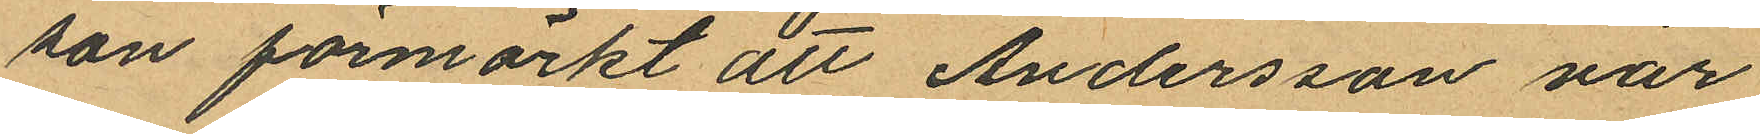son förmärkt att Andersson var
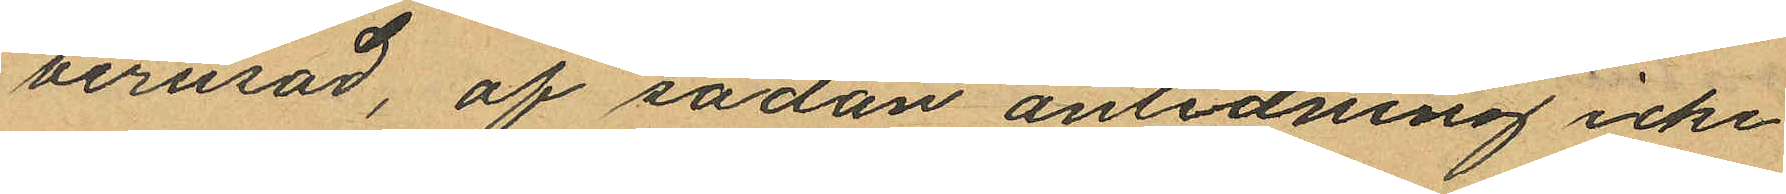berusad, af sådan anledning icke
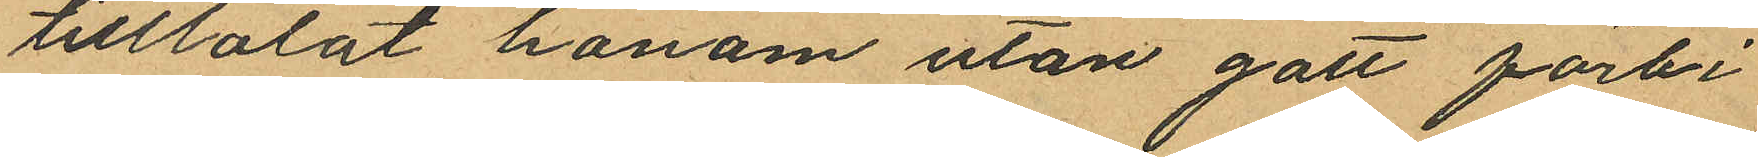tilltalat honom utan gått förbi
